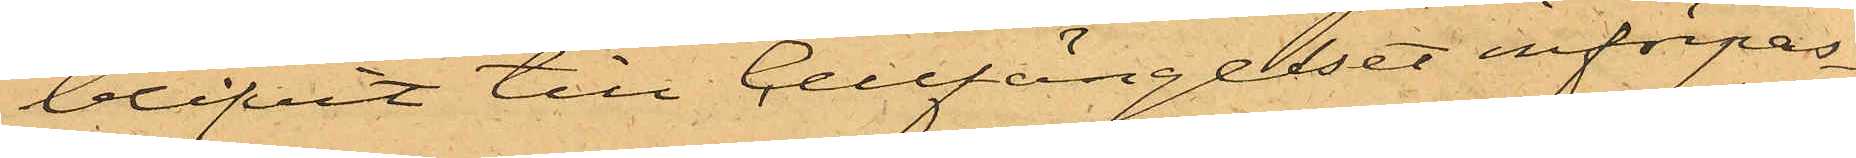blifvit till Cellfängelset införpas¬
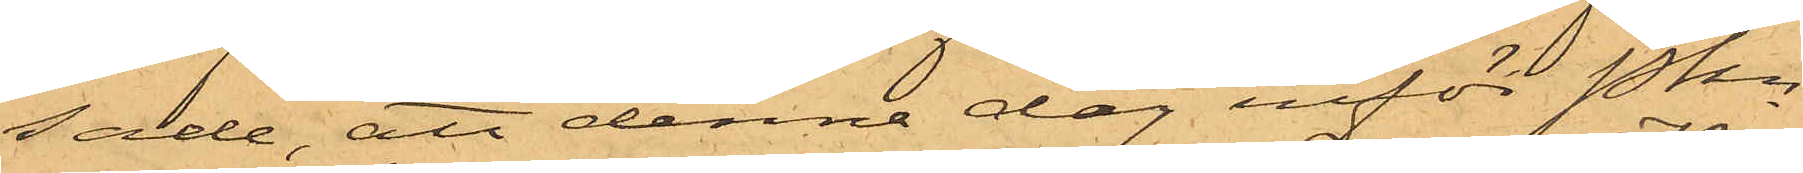sade, att denna dag inför Pkn
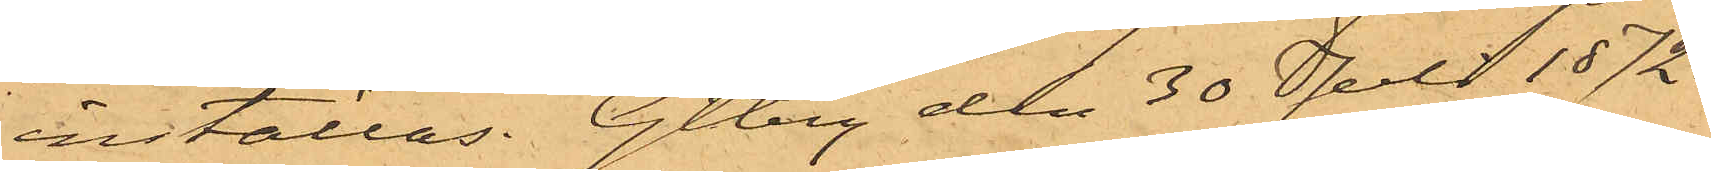inställas. Gtbrg den 30 Juli 1872.
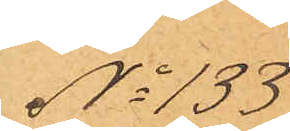No 133
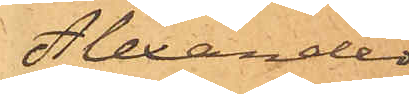Alexander
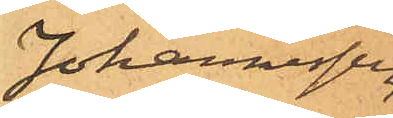Johannessen
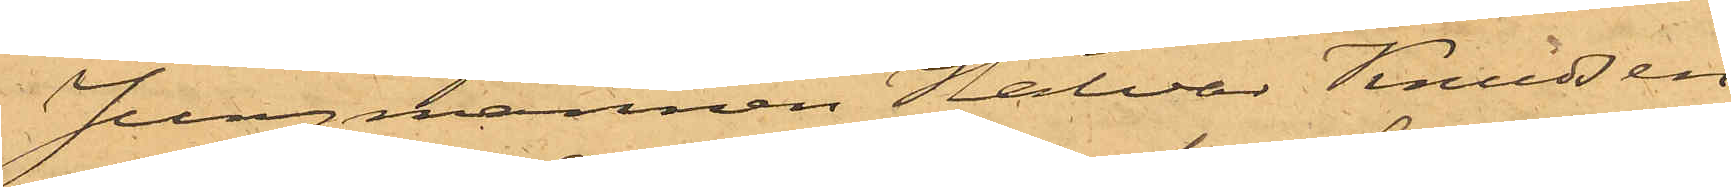Jungmannen Halvar Knudsen
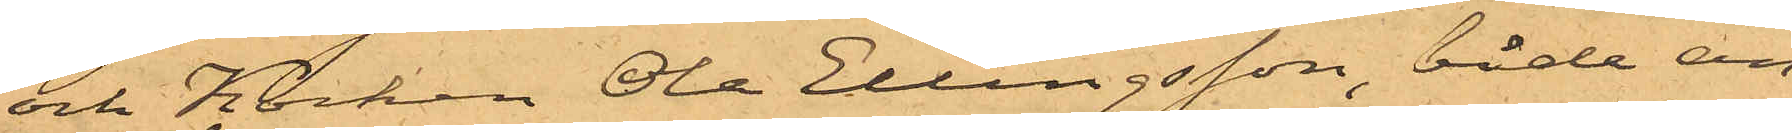och Kocken Ole Ellingsson, båda an¬
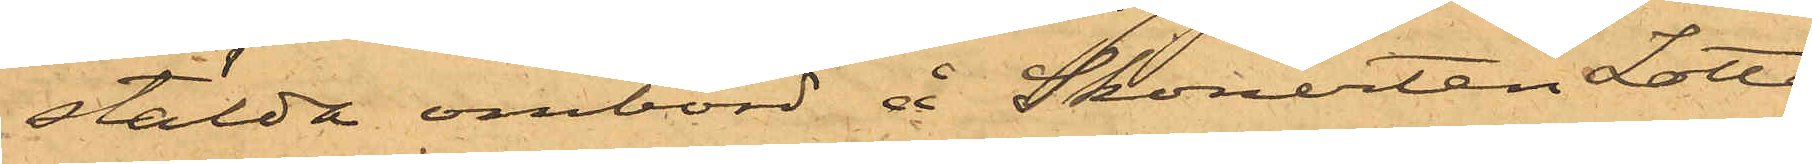stälda ombord å Skonerten Lotta
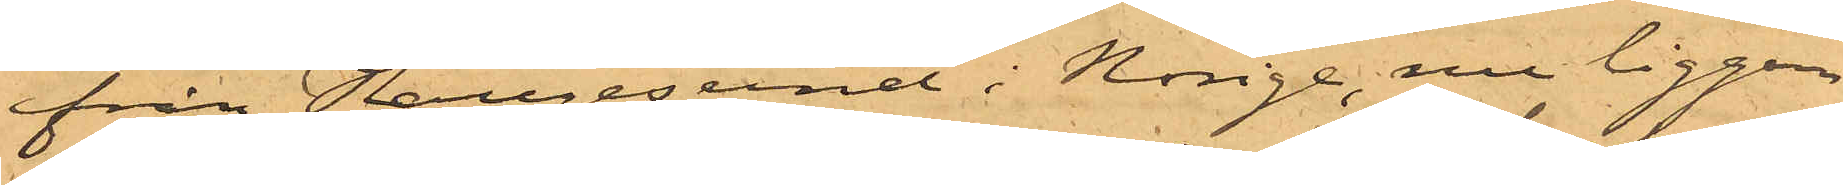ifrån Haugesund i Norige, nu liggan¬
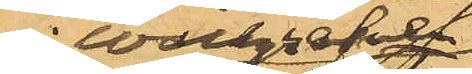i Wallgrafven
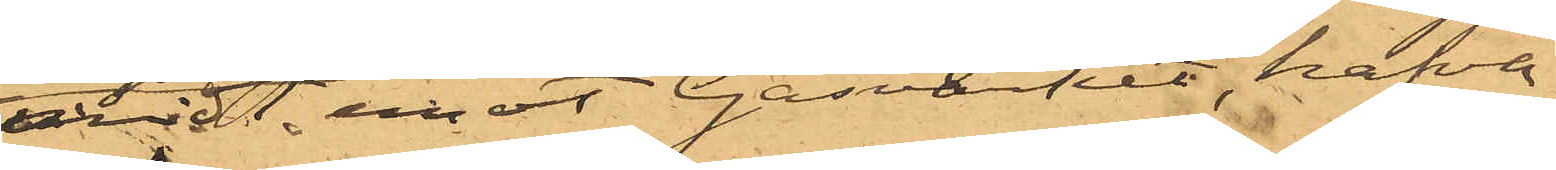midt emot Gasverket, hafva
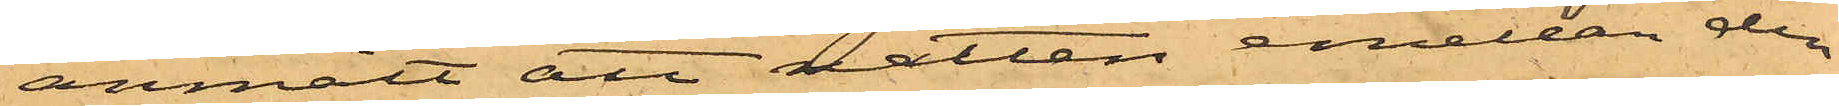anmält att natten emellan den
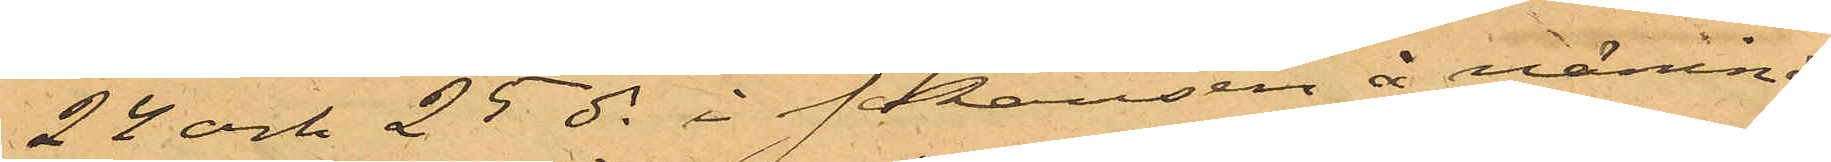22 och 25 ds i Skansen å nämnda
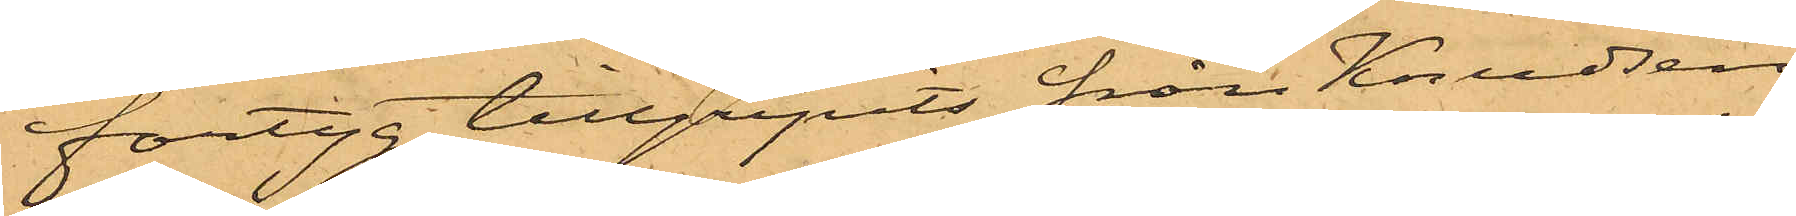fartyg tillgripits från Knudsen
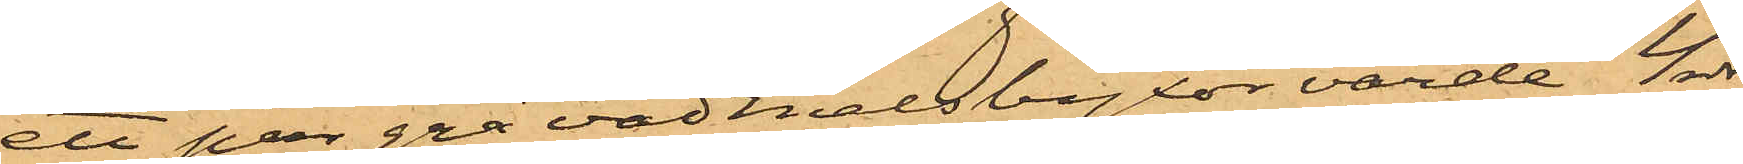ett par grå vadmalsbyxor värda 4 rdr
